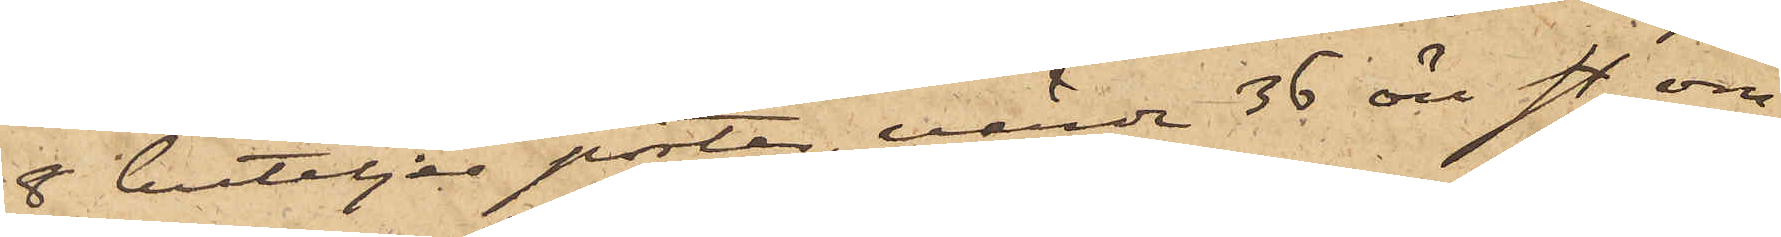8 buteljer porter, värde 36 öre sty, om¬
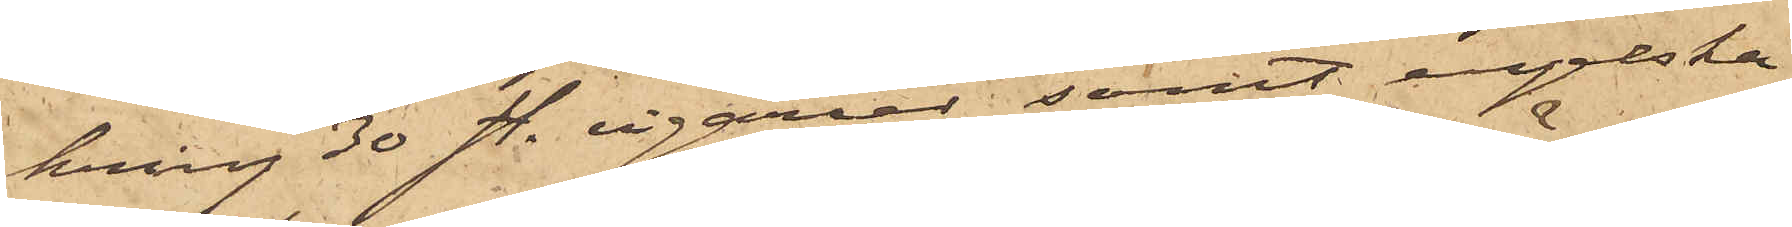kring 30 sty. cigarrer samt engelska
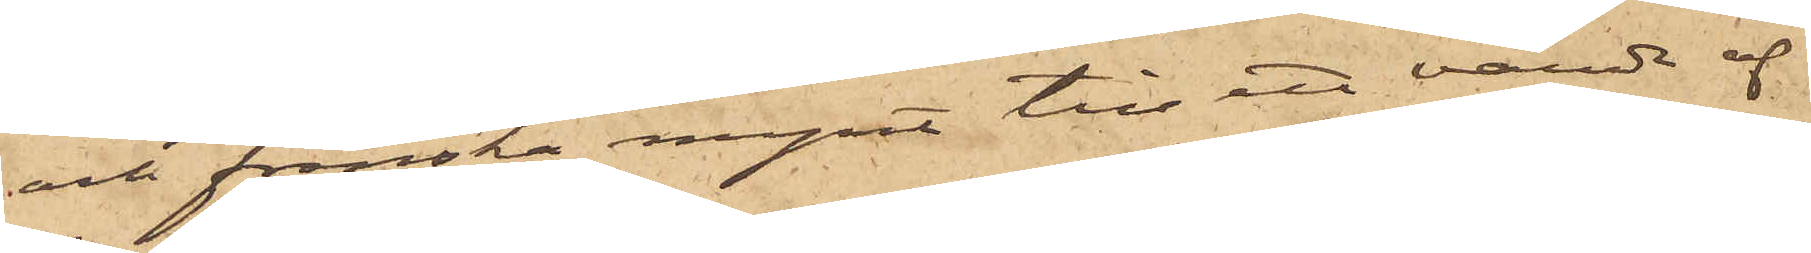och franska mynt till ett värde af
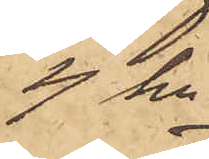4 kr.
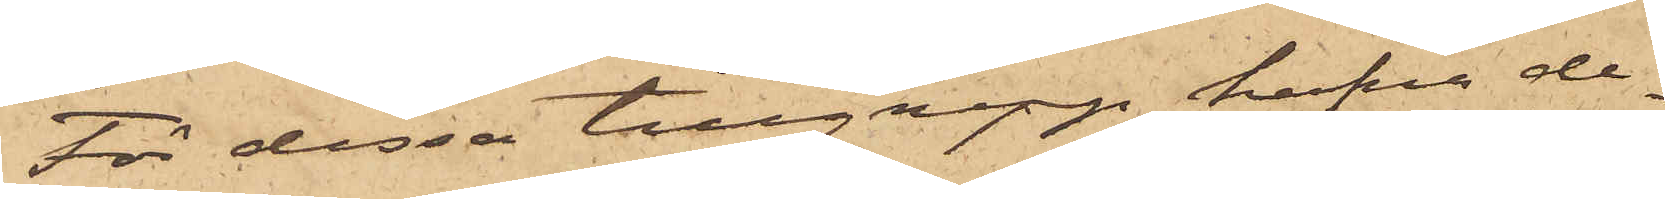För dessa tillgrepp hafva de¬
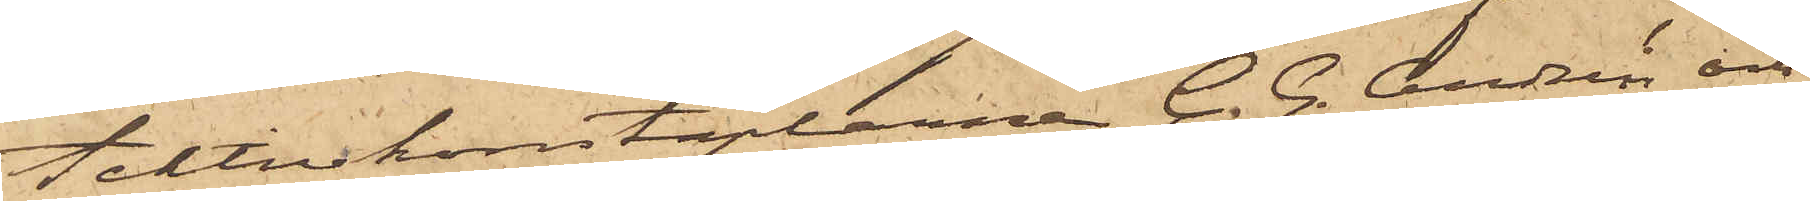tektivkonstaplarne C. G. Andrén och
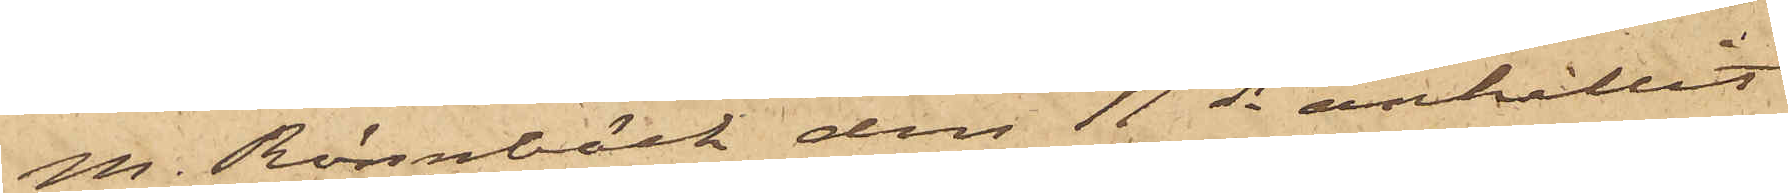M. Rönnbäck den 11 ds anhållit
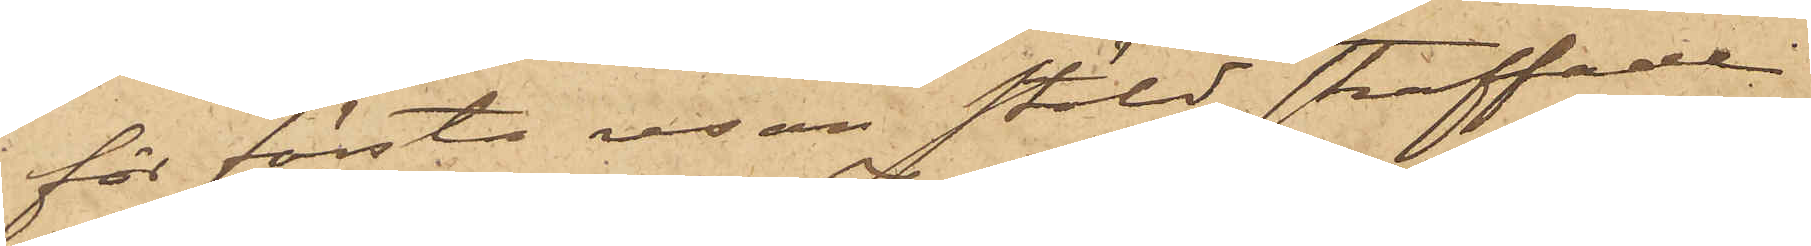för första resan stöld straffade 
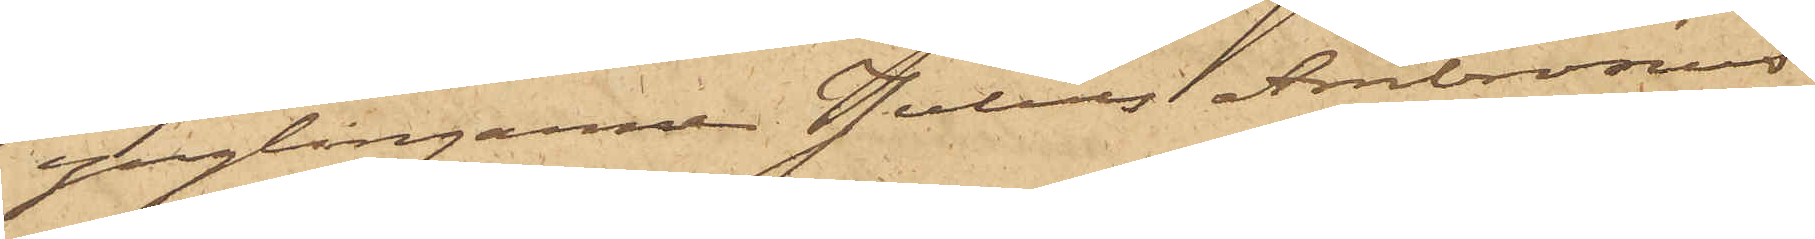ynglingarne Julius Ambrosius
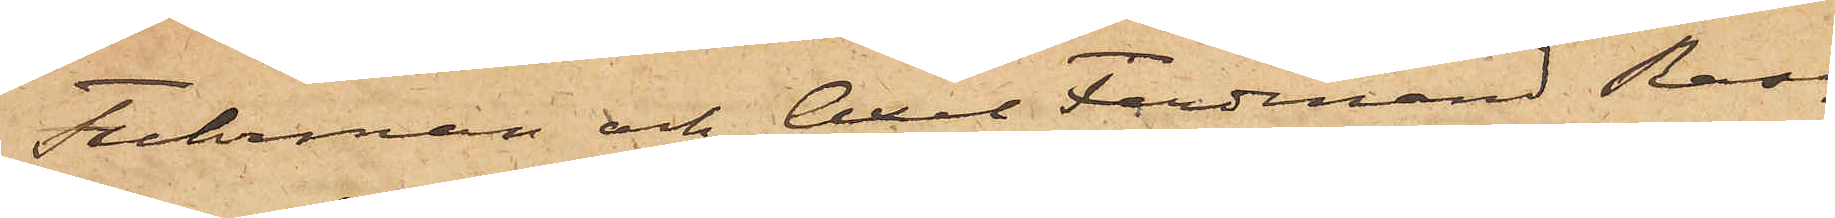Fuhrman och Axel Ferdinand Ras¬
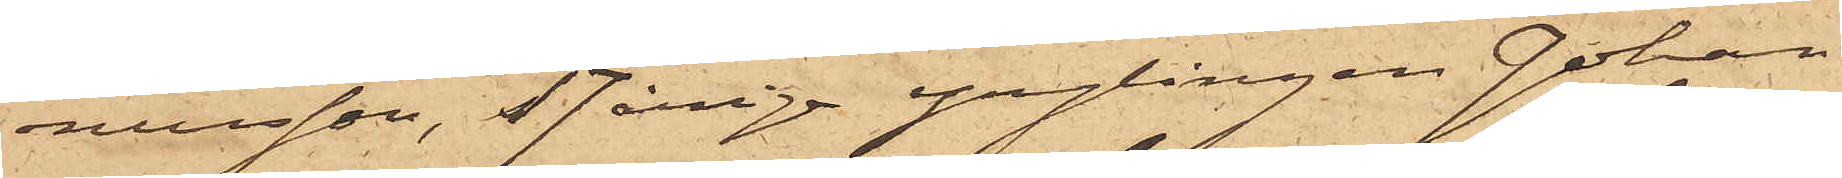nusson, 17-årige ynglingen Johan
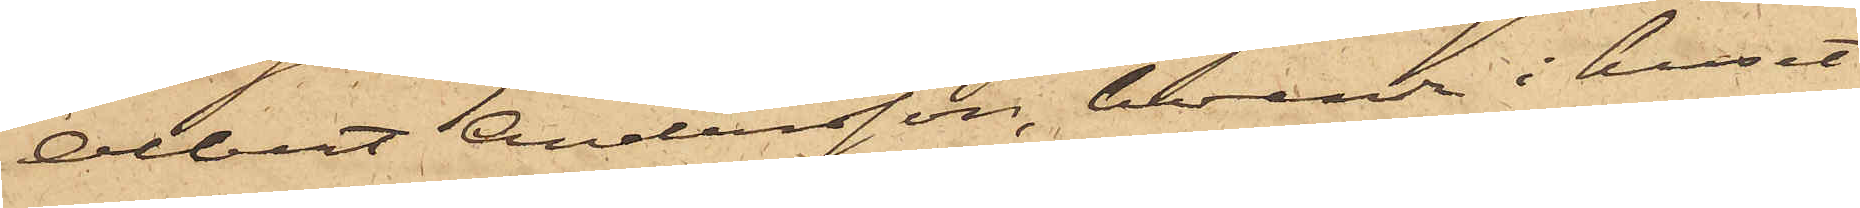Albert Andersson, boende i huset
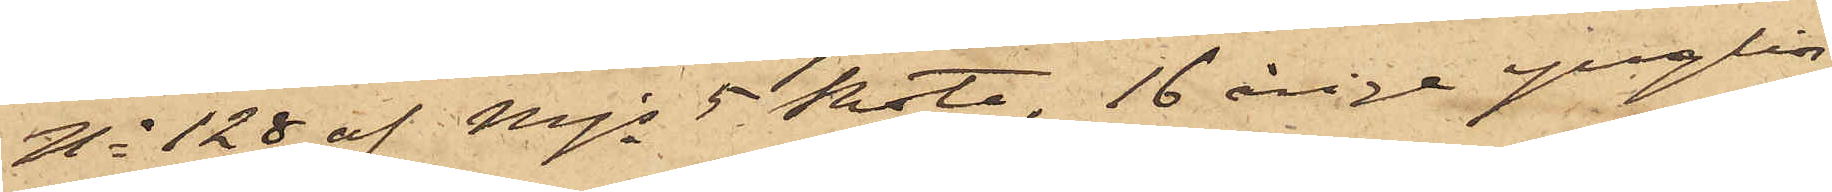No 128 af Mjs 5 Rote, 16 årige ynglin¬
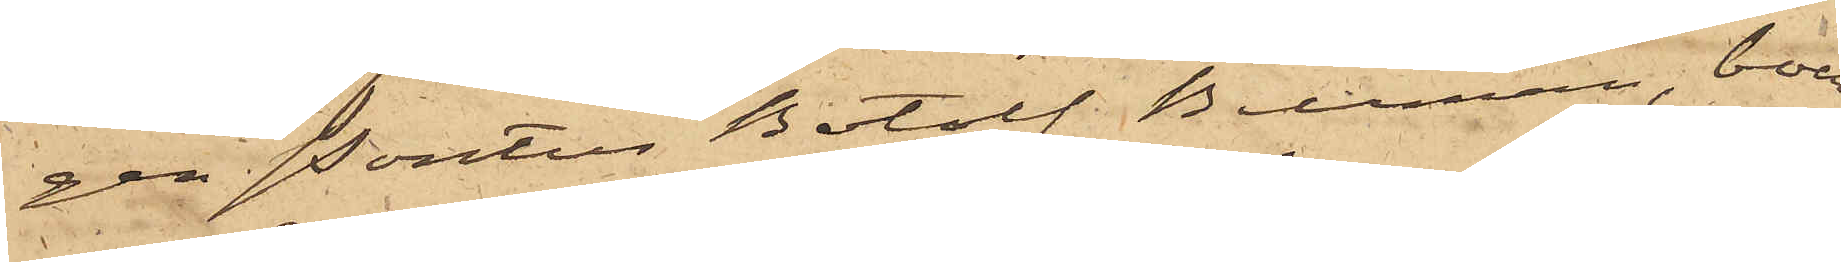gen Pontus Botolf Fuhrman, boen¬
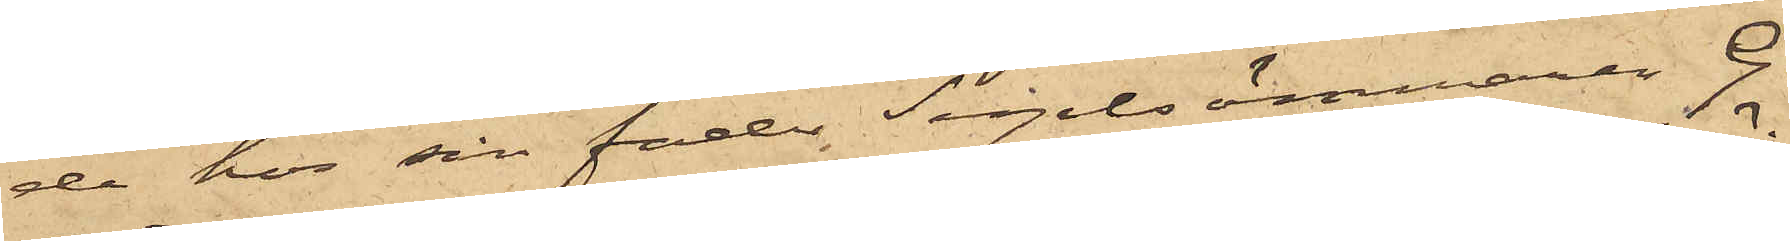de hos sin fader Segelsömmaren G.
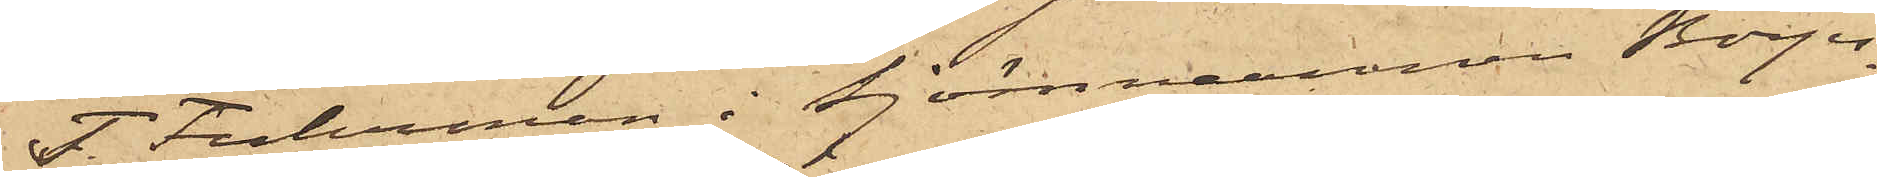T. Fuhrman i Sjömannen Börjes¬
